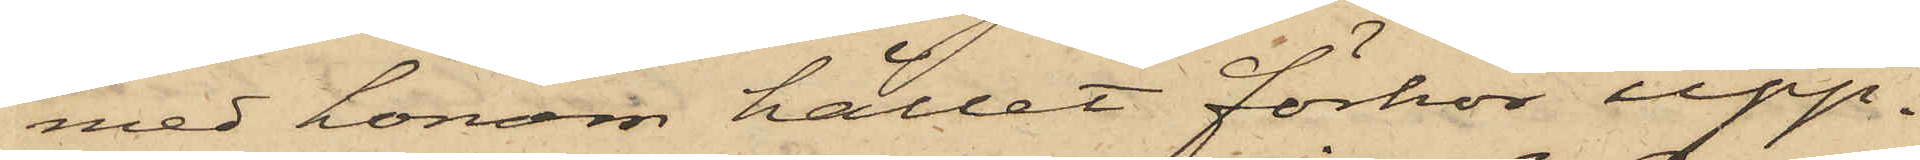med honom hållet förhör upp¬
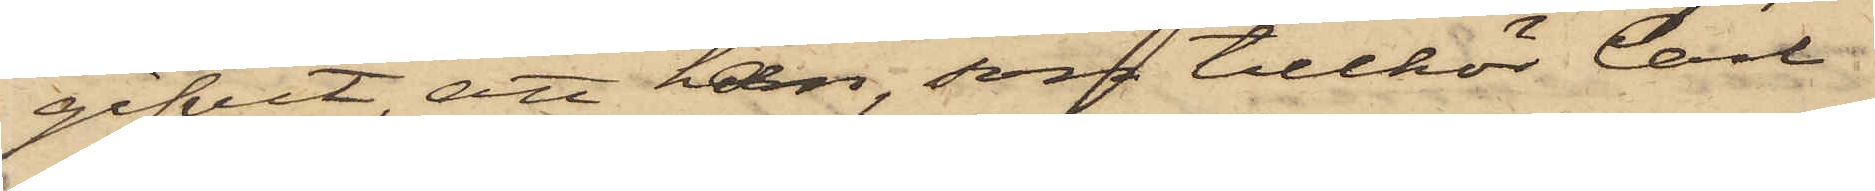gifvit, att han, som tillhör Carl
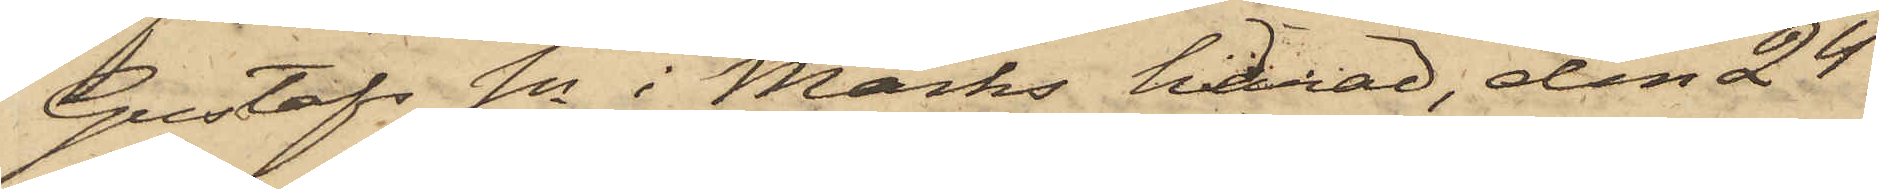Gustafs Sn i Marks härad, den 24
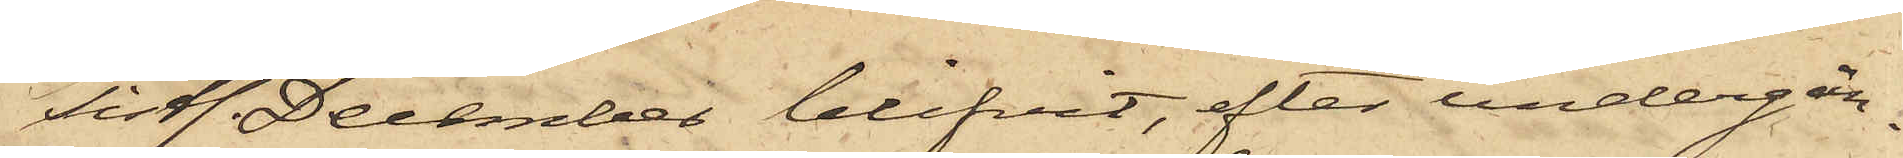sistl. December blifvit, efter undergån¬
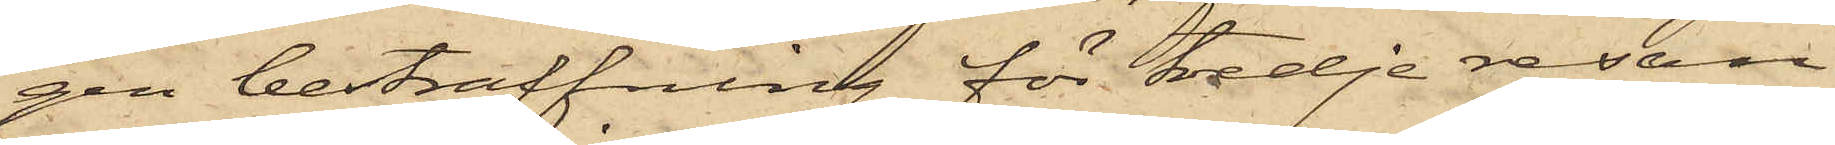gen bestraffning för tredje resan
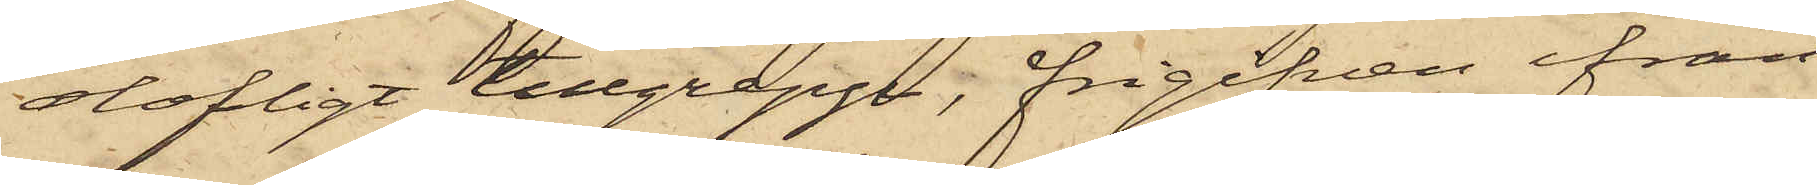olofligt tillgrepp, frigifven ifrån
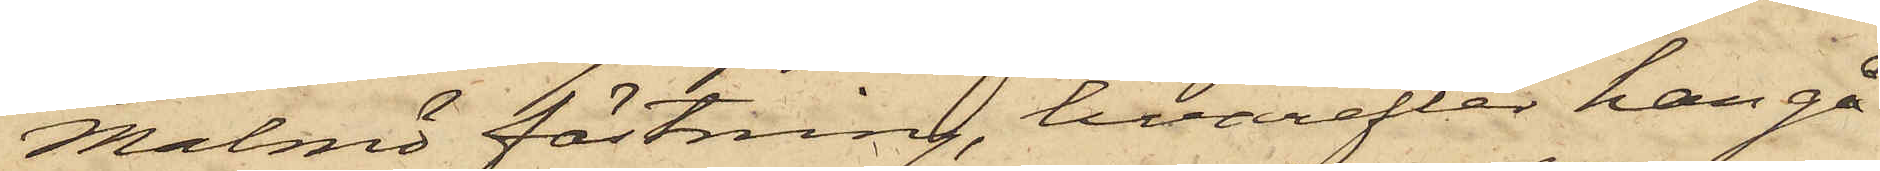Malmö fästning, hvarefter han gå¬
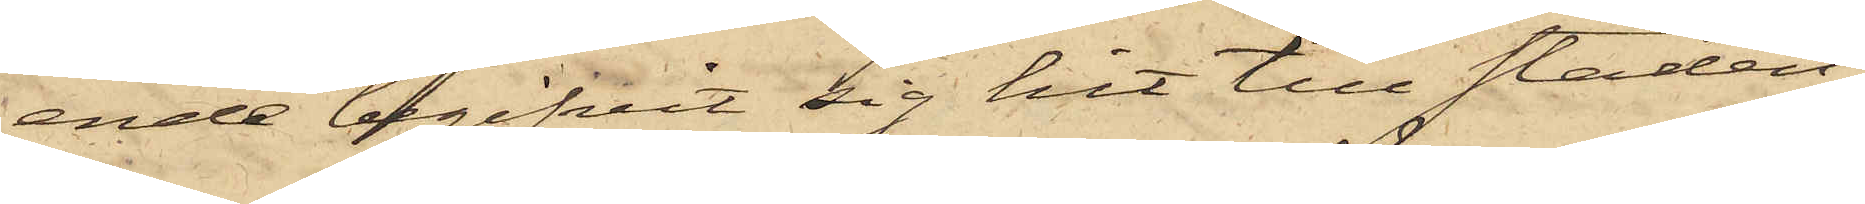ende begifvit sig hit till Staden,
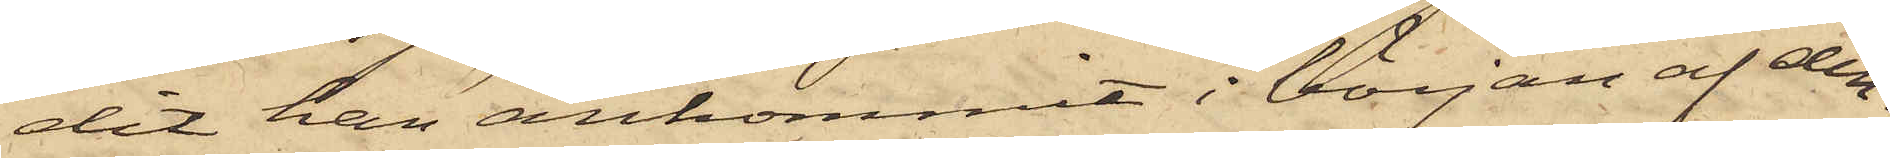dit han ankommit i början af den¬
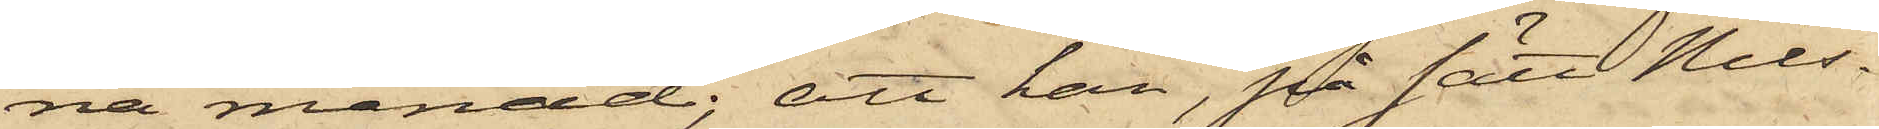na månad; att han, på sätt Nils¬
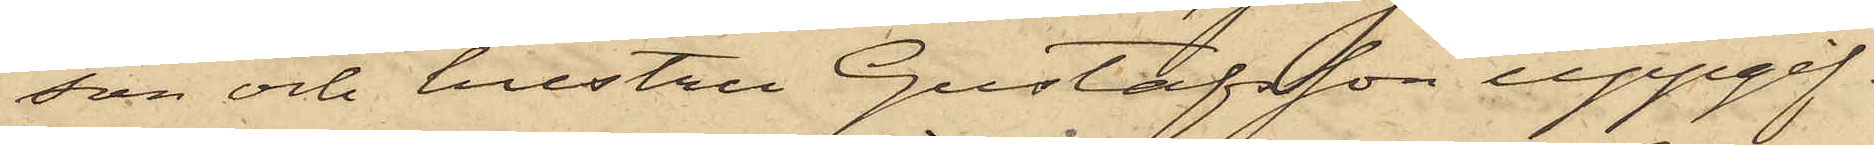son och hustru Gustafsson uppgif¬
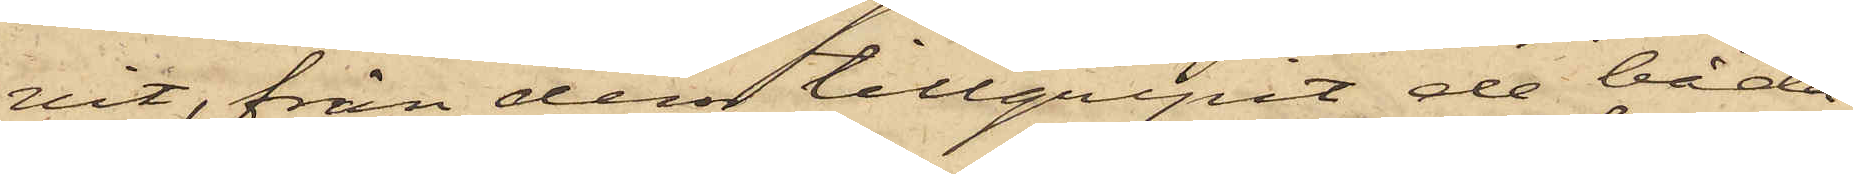vit, från dem tillgripit de båda
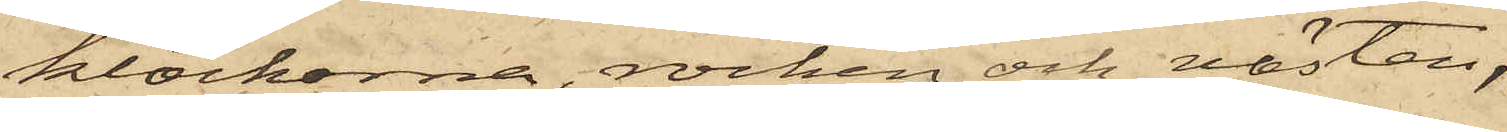klockorna, rocken och västen,
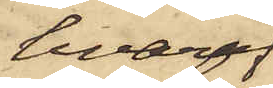hvaraf
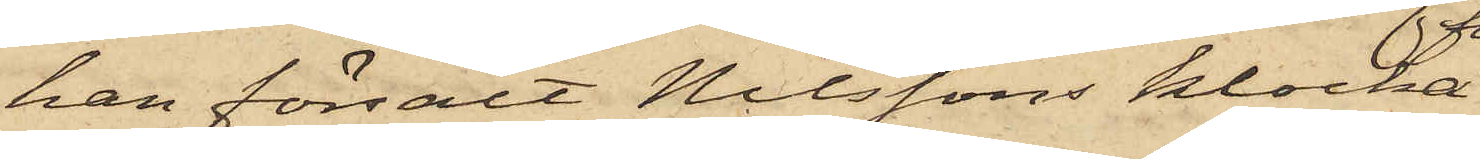han försålt Nilssons klocka
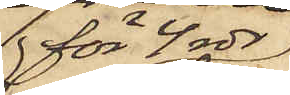för 4 rdr
